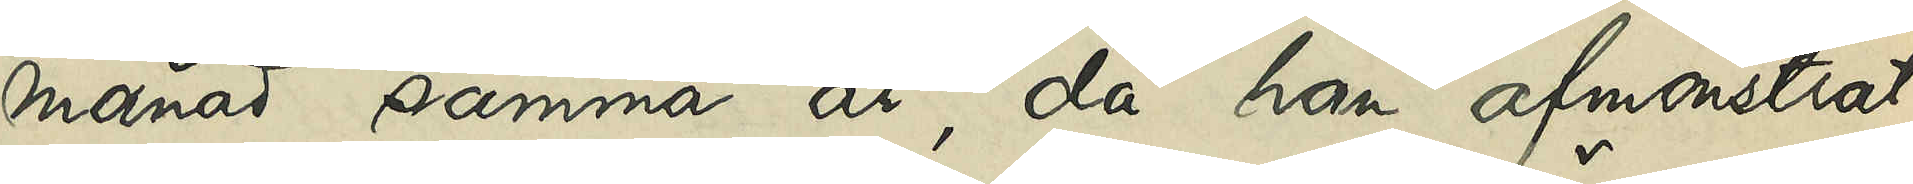månad samma år, då han afmönstrat
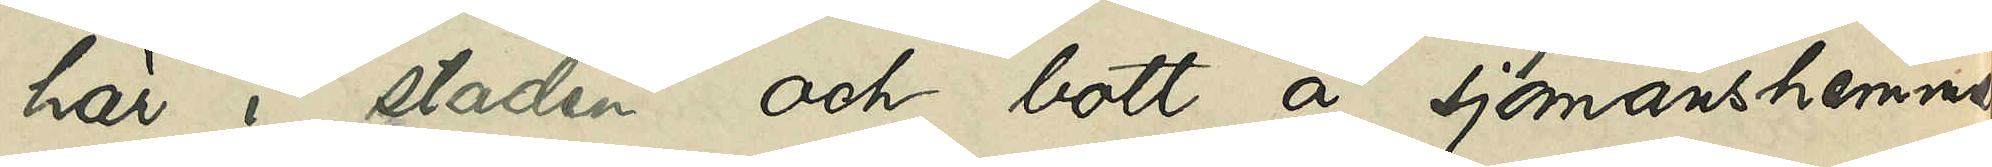här i staden och bott å sjömanshemmet
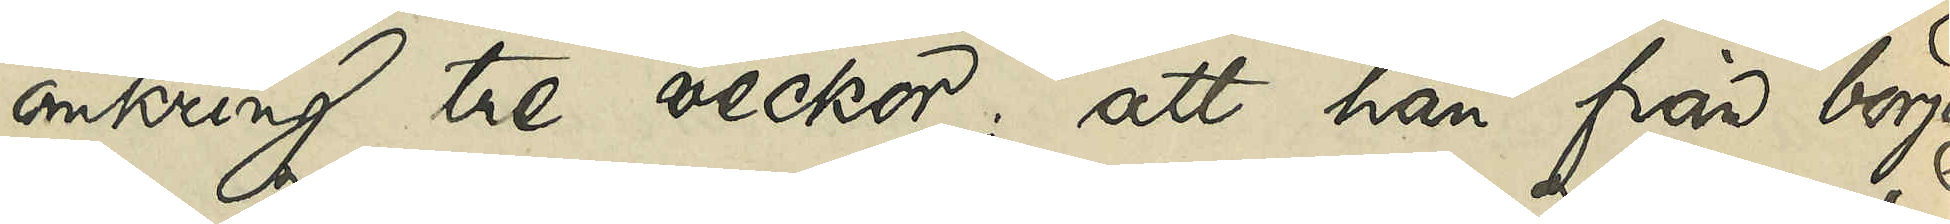omkring tre veckor; att han från början
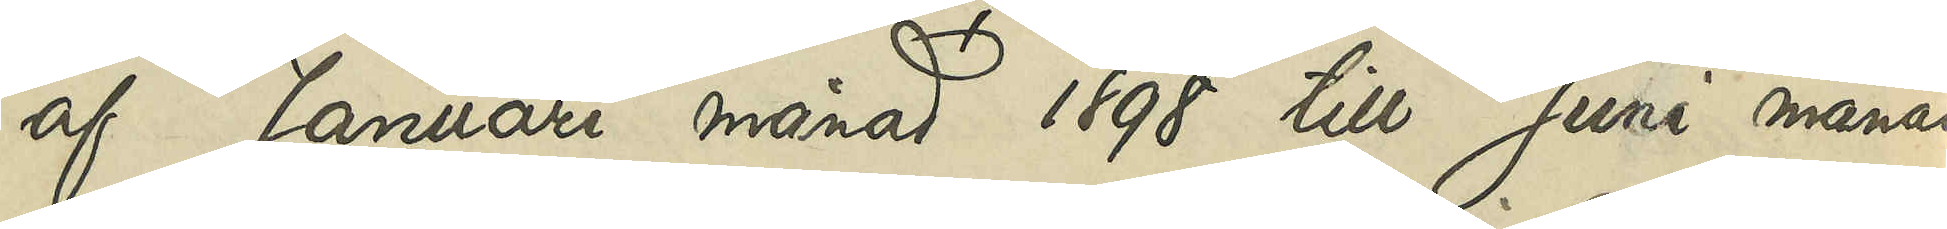af Januari månad 1898 till Juni månad
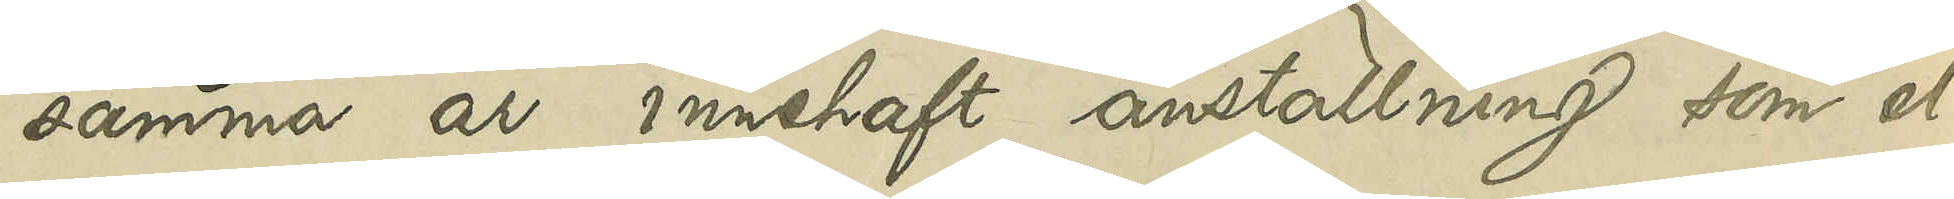samma år innehaft anställning som el¬
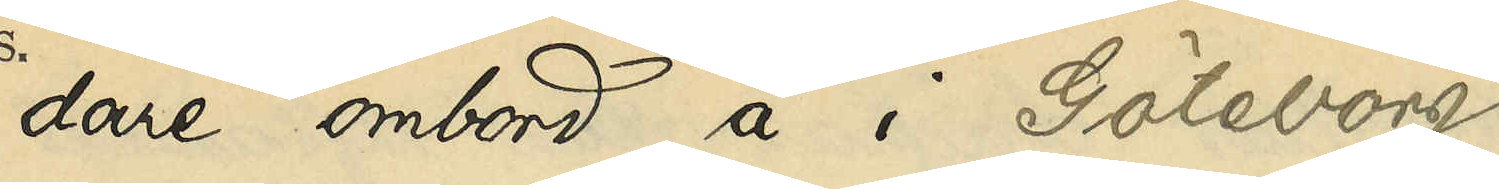dare ombord å i Göteborg
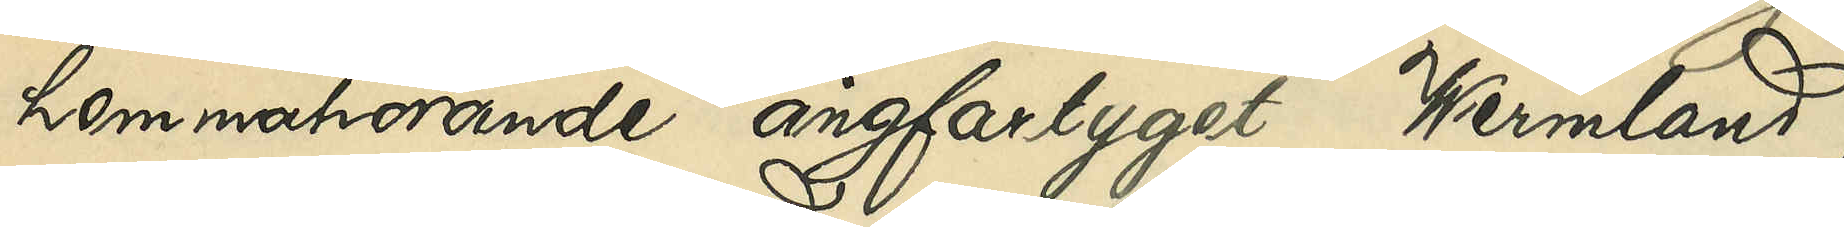hemmahörande ångfartyget "Wermland",
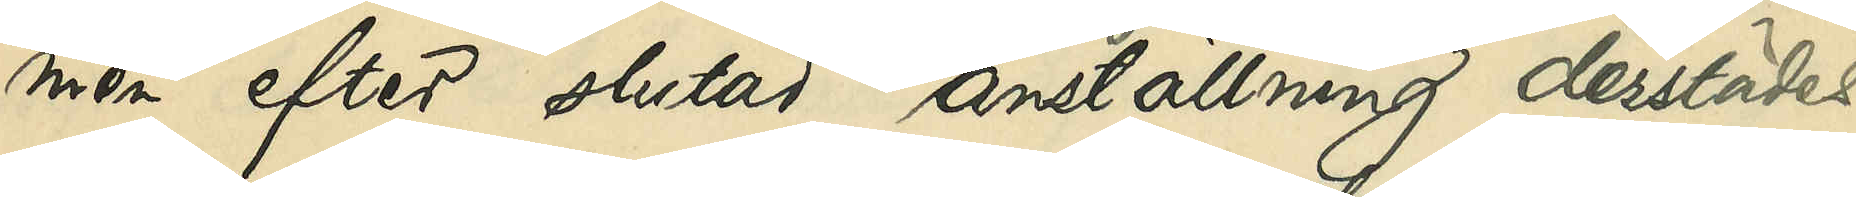men efter slutad anställning derstädes
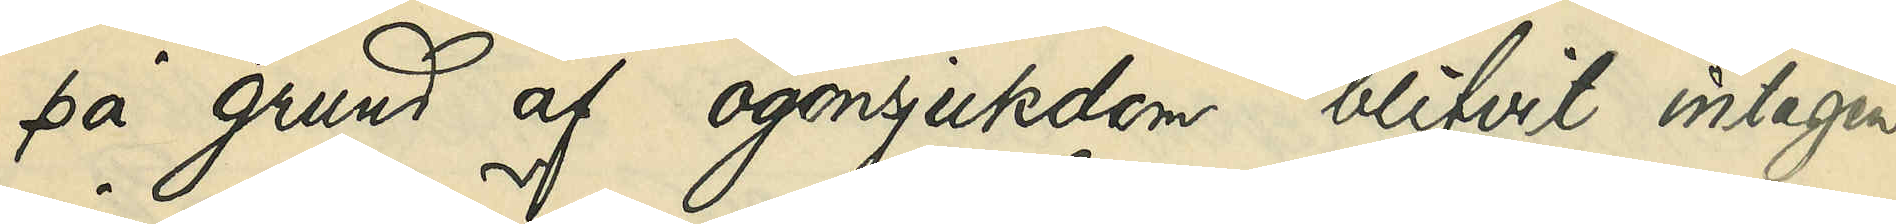på grund af ögonsjukdom blifvit intagen
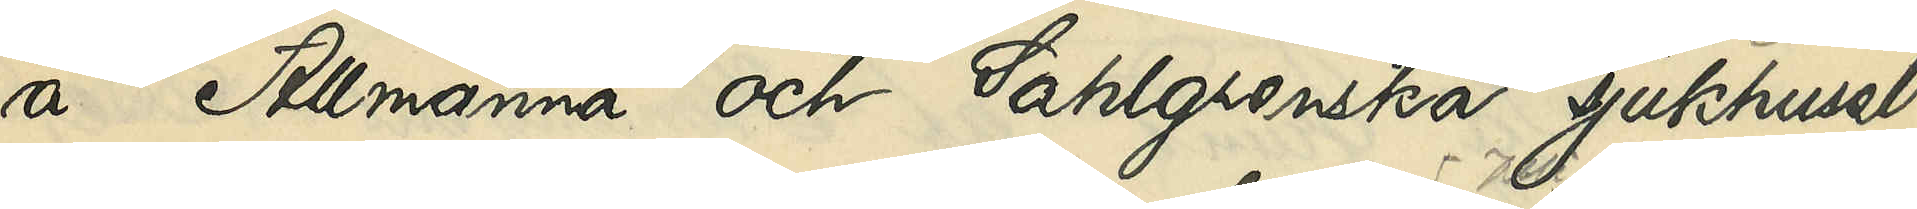å Allmänna och Sahlgrenska sjukhuset,
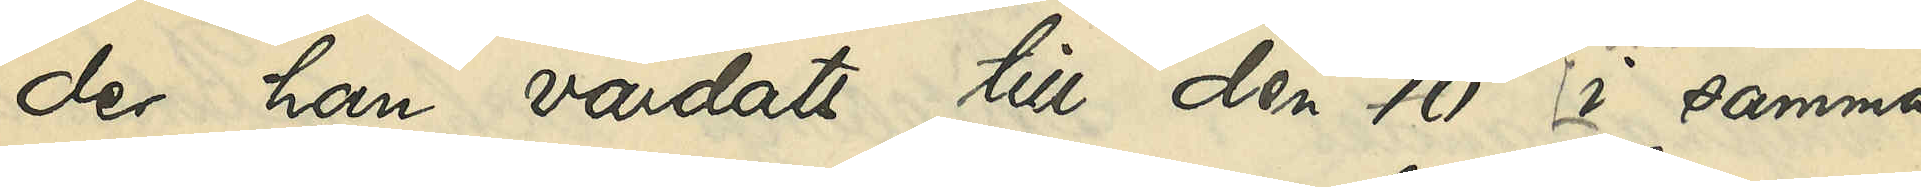der han vårdats till den 10 i samma
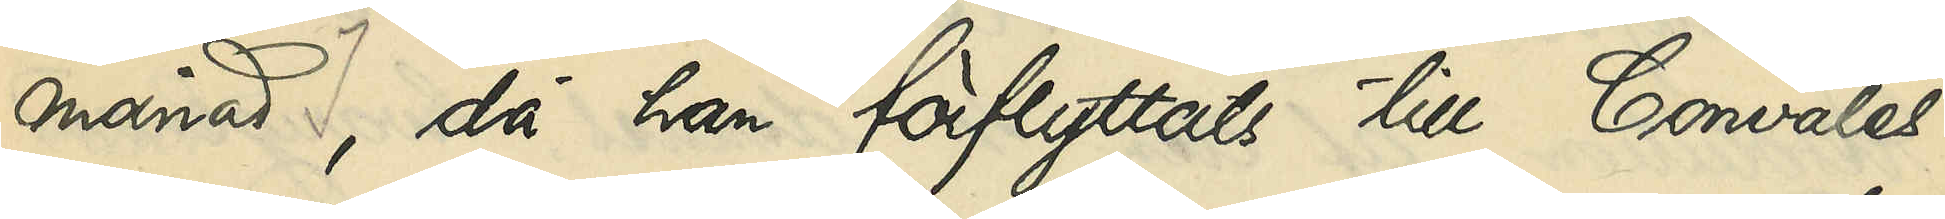månad, då han förflyttats till Convales¬
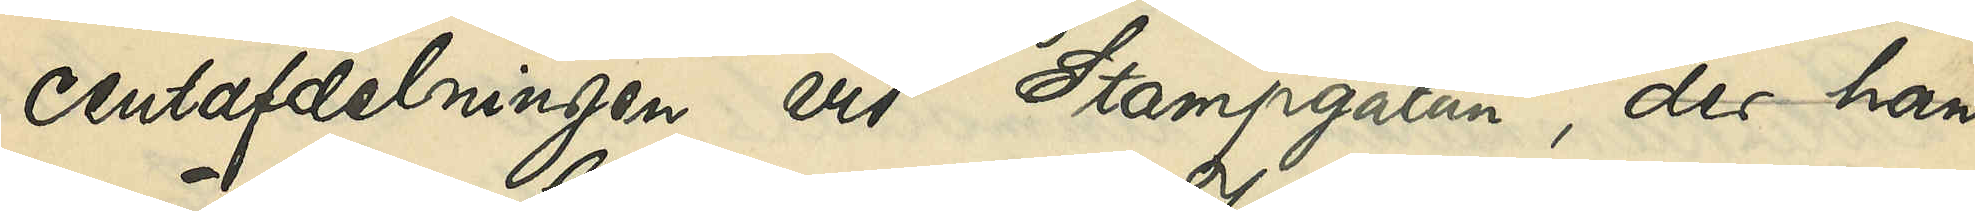censafdelningen vid Stampgatan; der han
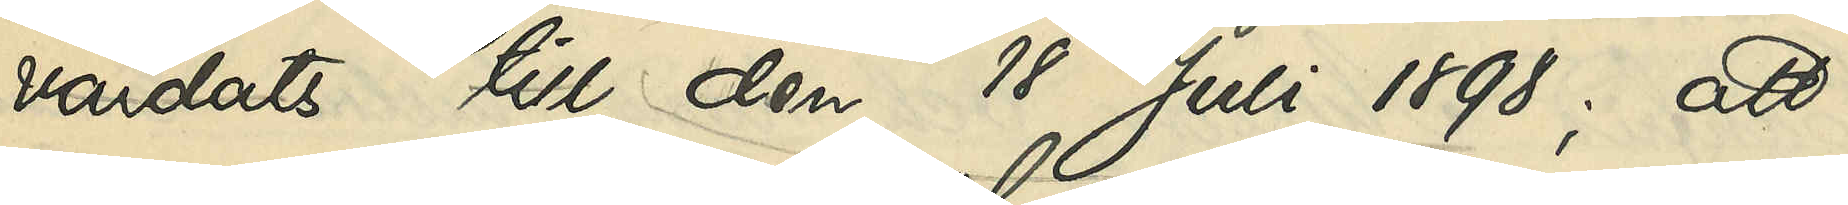vårdats till den 18 Juli 1898; att
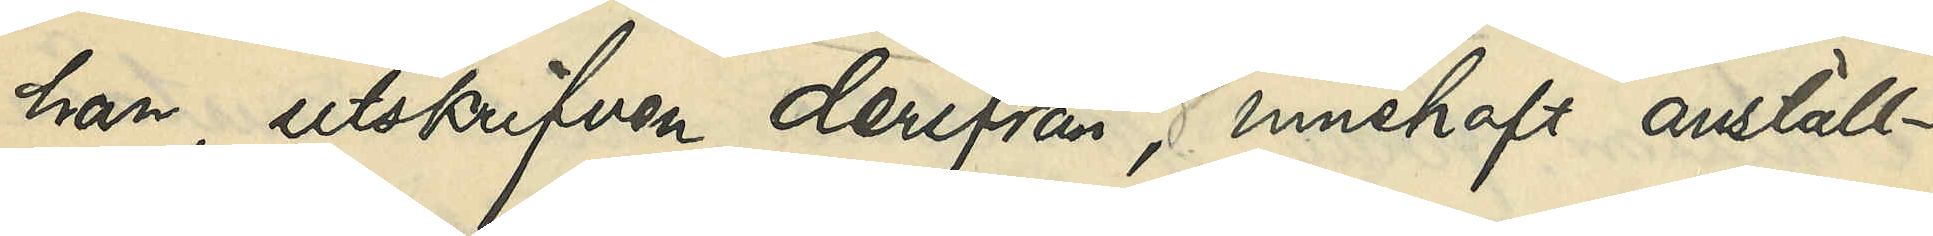han, utskrifven derifrån, innehaft anställ¬
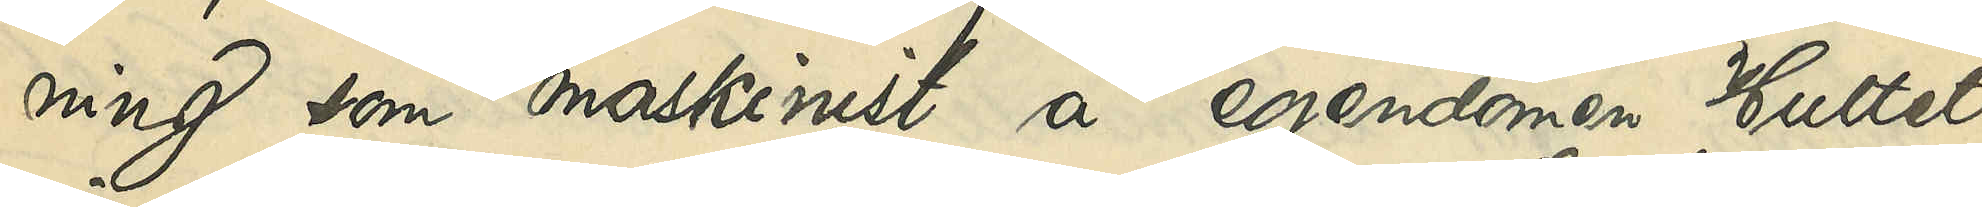ning som maskinist å egendomen Hultet
